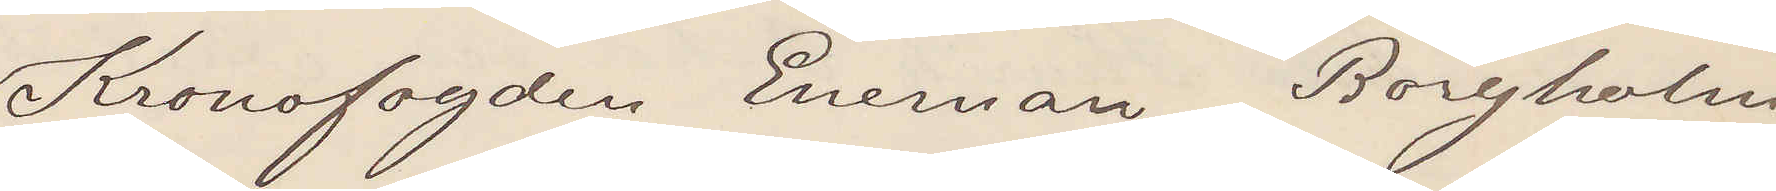Kronofogden Eneman. Borgholm
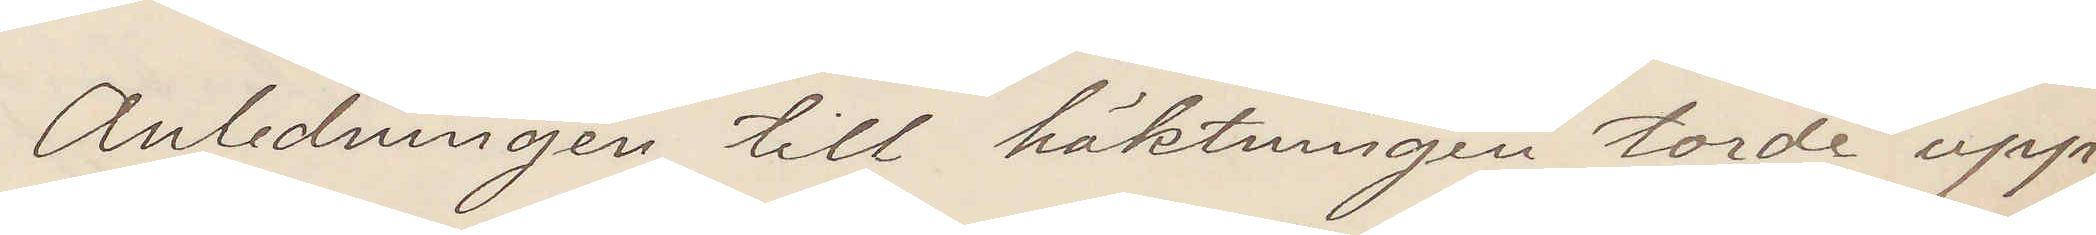Anledningen till häktningen torde upp¬
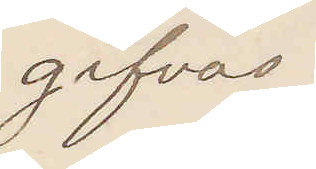gifvas.
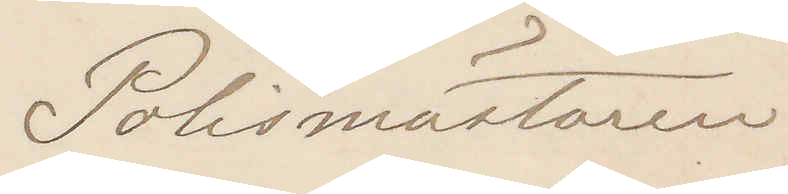Polismästaren
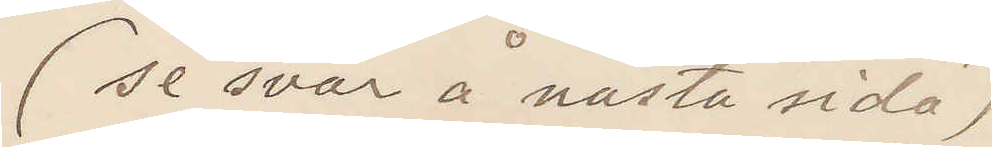(se svar å nästa sida)
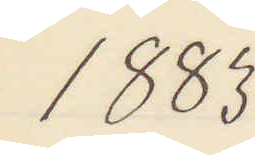1883
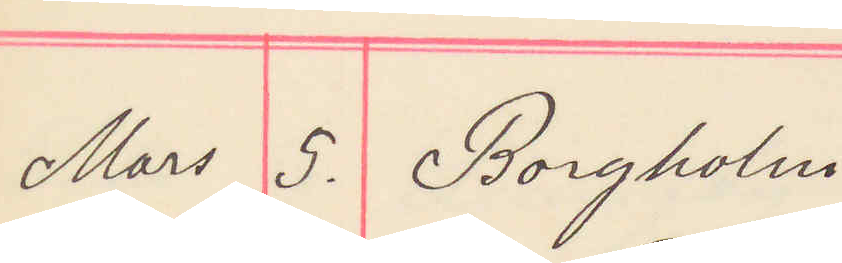Mars 5. Borgholm
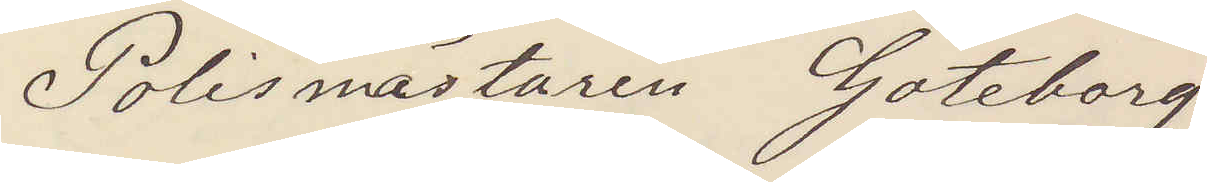Polismästaren Göteborg
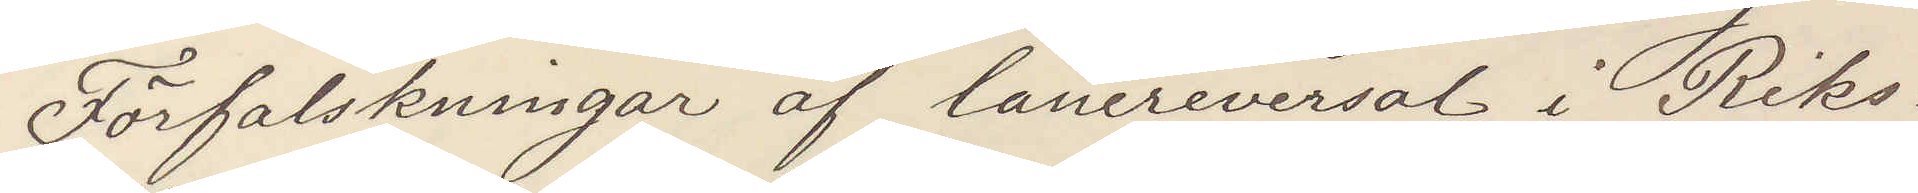Förfalskningar af lånereversal i Riks¬
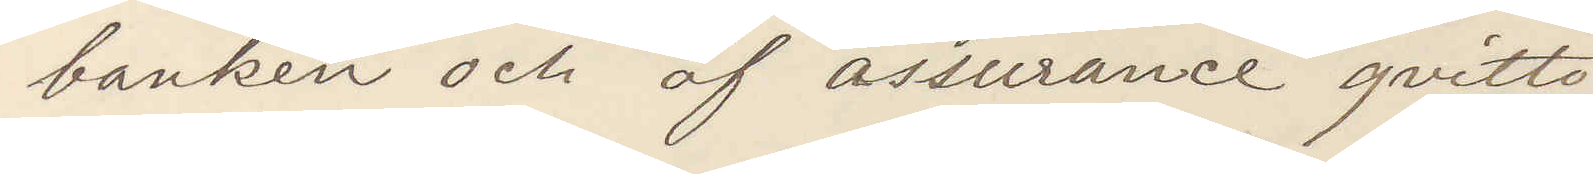banken och af assurance qvitto
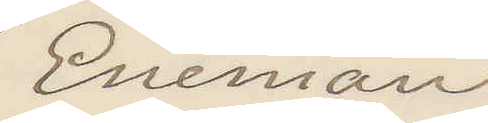Eneman
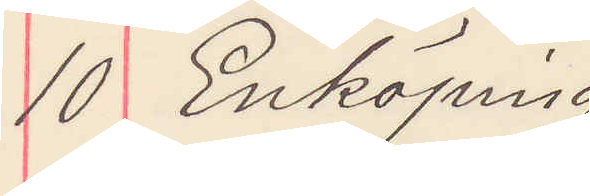10 Enköping
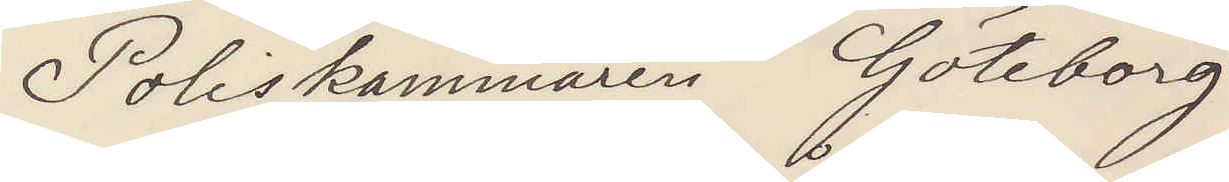Poliskammaren Göteborg
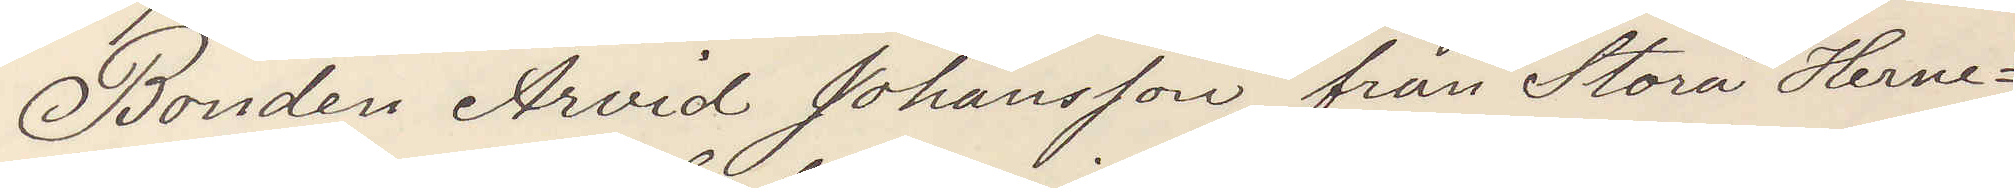Bonden Arvid Johansson från Stora Herne¬
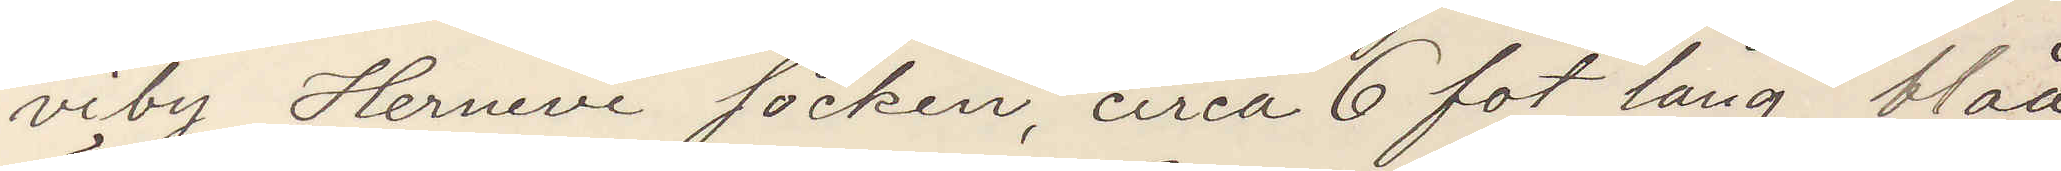viby Hernevi socken, circa 6 fot lång, blåa
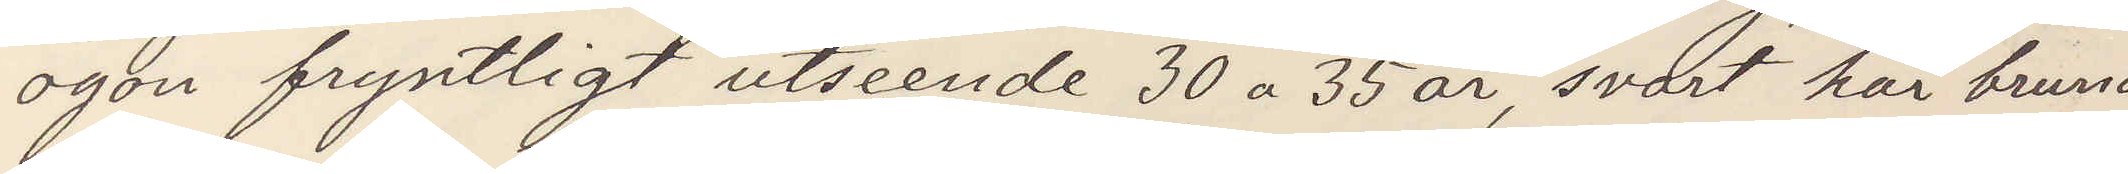ögon fryntligt utseende 30 a 35 år, svart hår bruna
